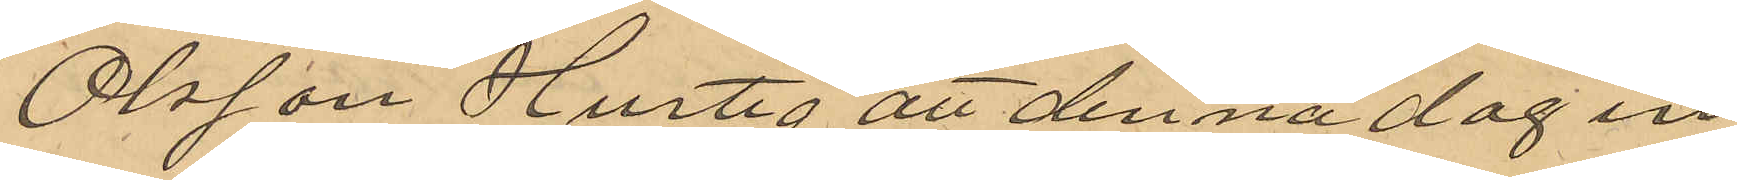Olsson Hurtig att denna dag in¬
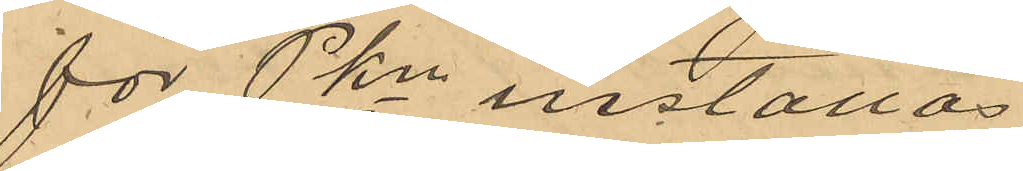för Pkn inställas.
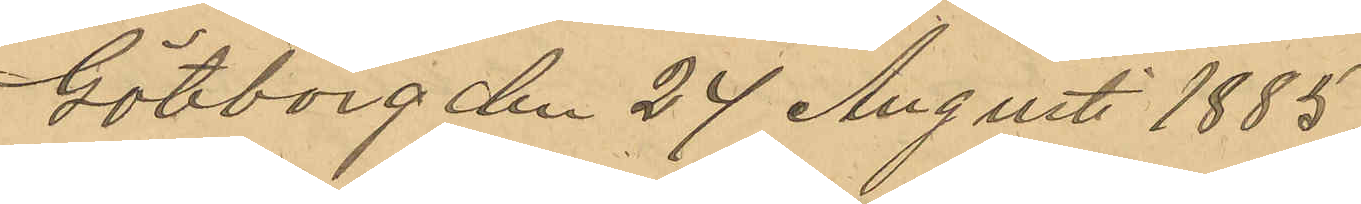Göteborg den 24 Augusti 1885
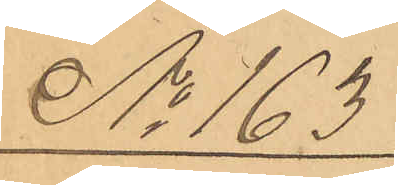No 163
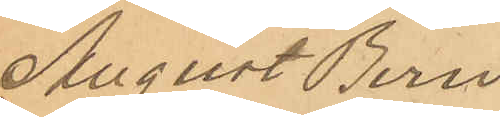August Bern
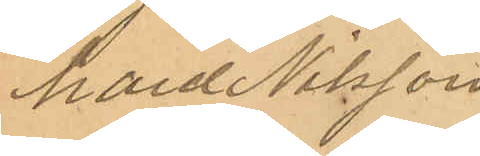hard Nilsson
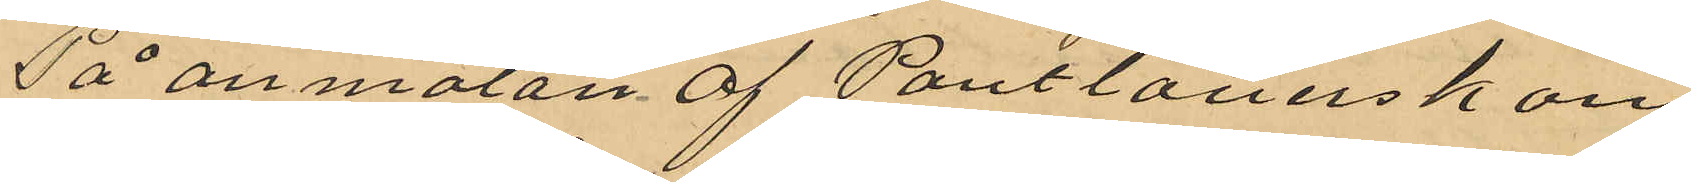På anmälan af Pantlånerskan¬
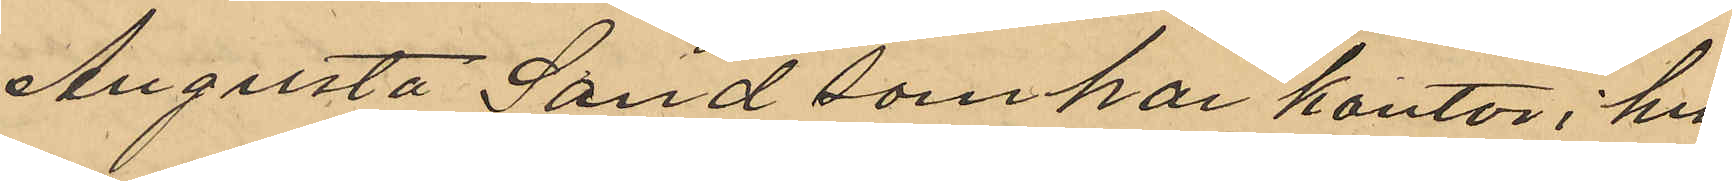Augusta Sand som har kontor i hu¬
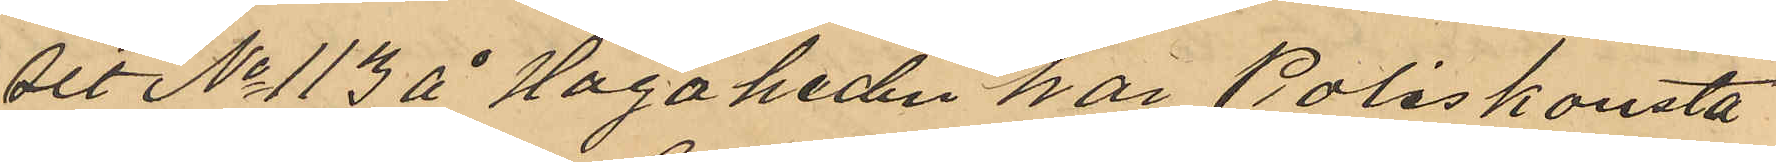set No 113 å Hagaheden har Poliskonsta¬
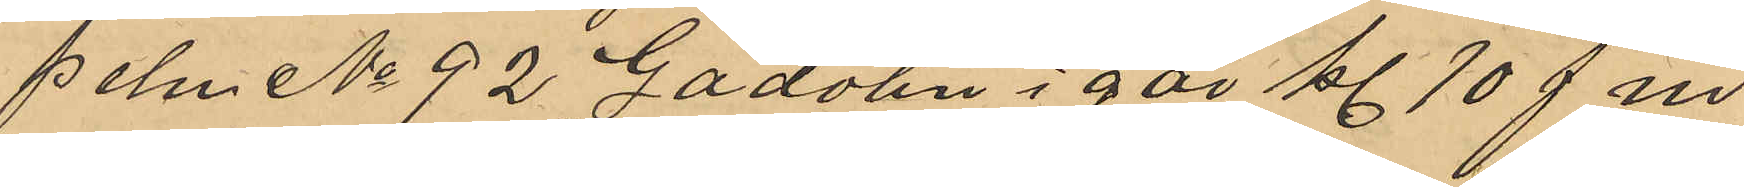peln No 92 Gadolin i går kl 10 f m
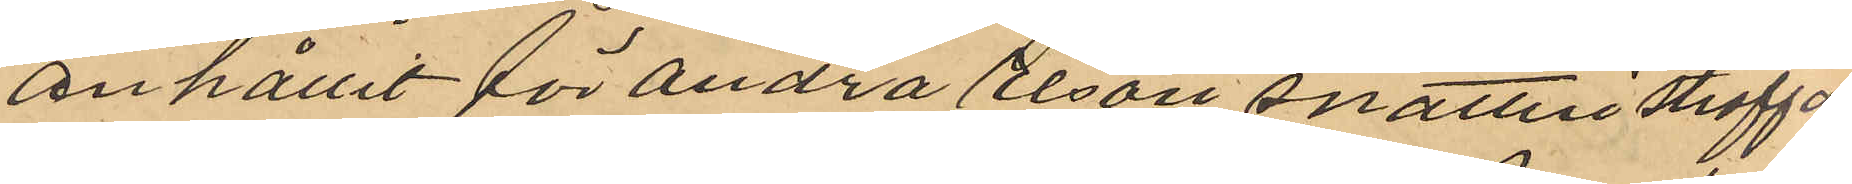anhållit för andra resan snatteri straffa¬
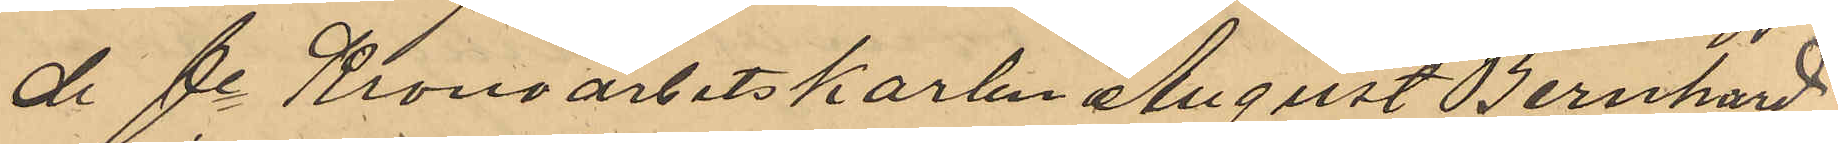de fe Kronoarbetskarlen August Bernhard
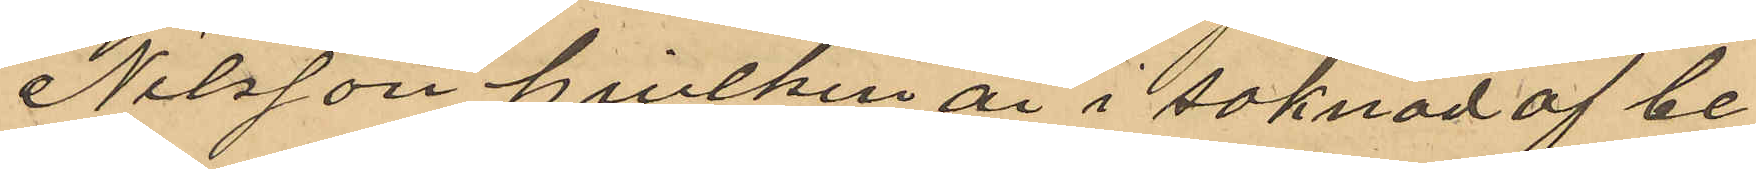Nilsson hvilken är i saknad af be¬
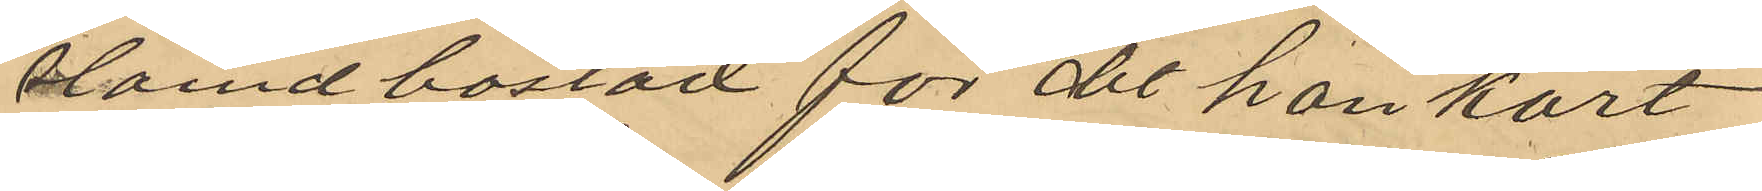stamd bostad för det han kort
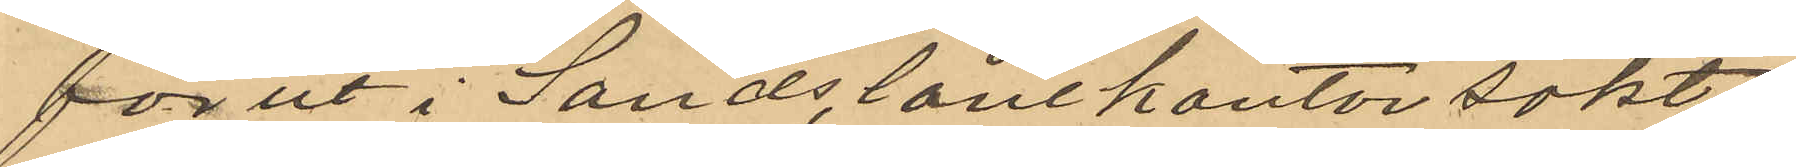förut i Sands lånekontor sökt
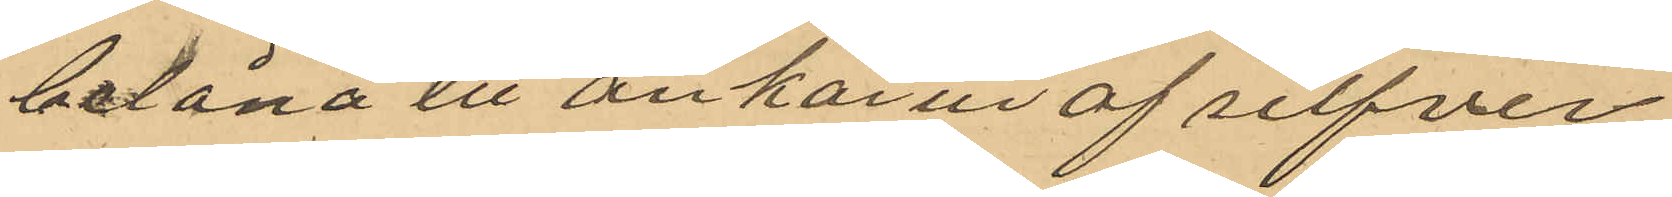belåna ett ankarur af silfver
